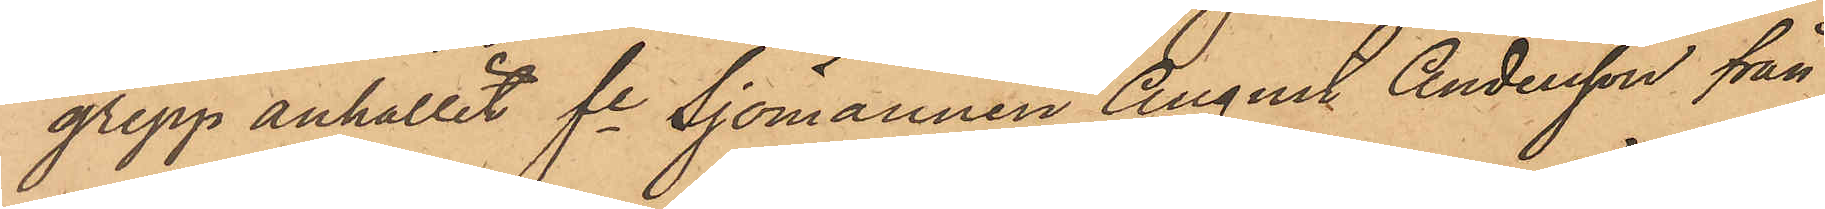grepp anhållit fe Sjömannen August Andersson från
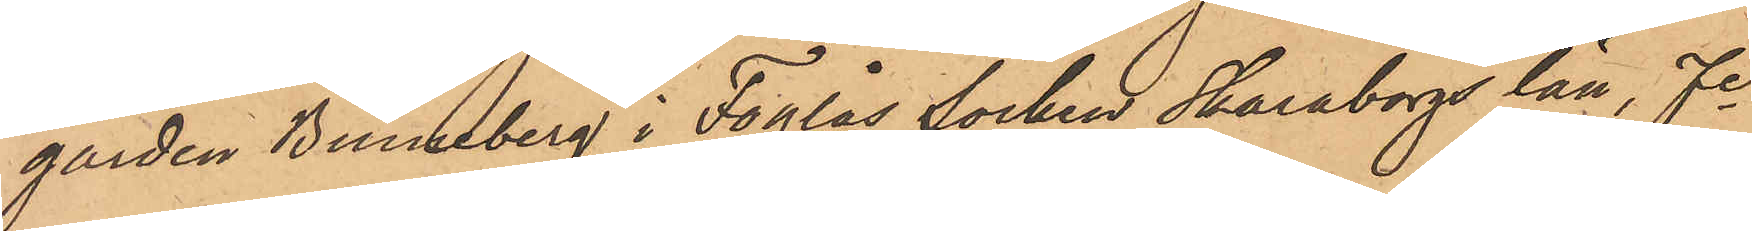gården Binneberg i Foglås Socken Skaraborgs län, fe
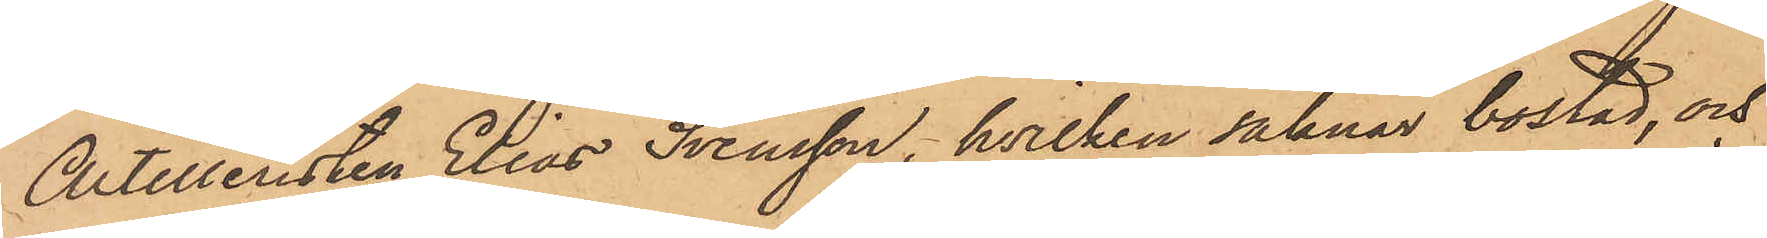Artilleristen Elias Svensson, hvilken saknar bostad, och
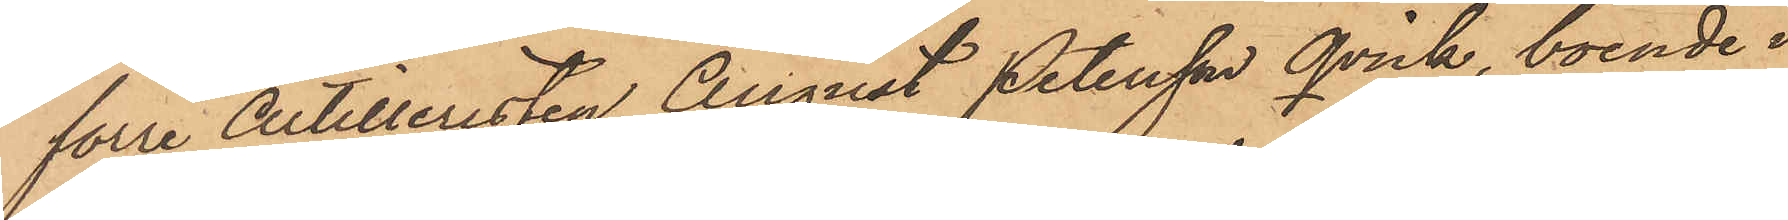förre Artilleristen August Petersson Qvick, boende i
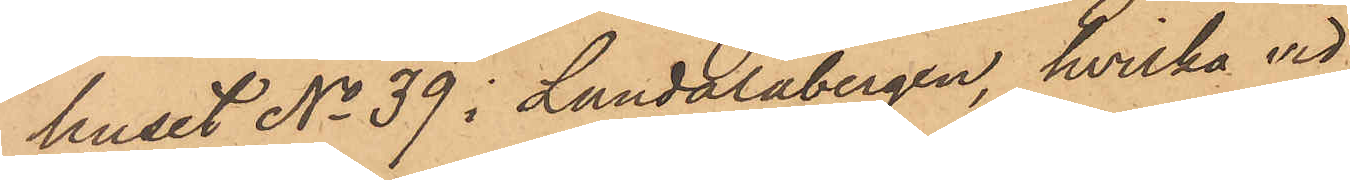huset No 39 i Landalabergen, hvilka vid
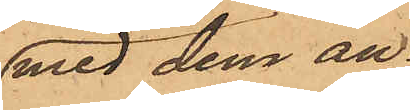med dem an¬
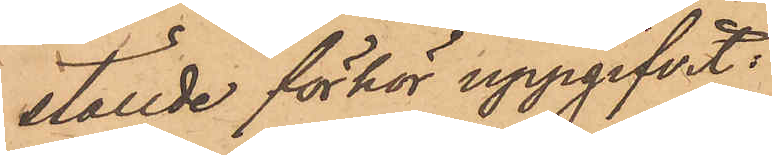ställde förhör uppgifvit.
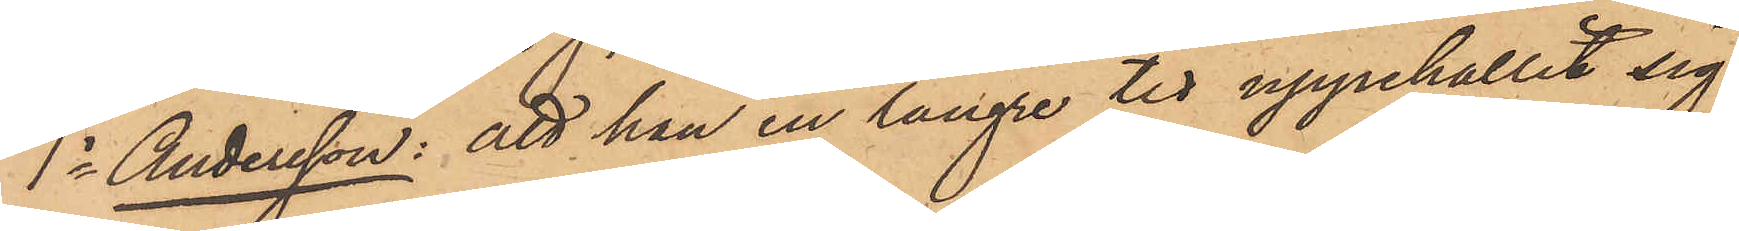1o Andersson: att han en längre tid uppehållit sig
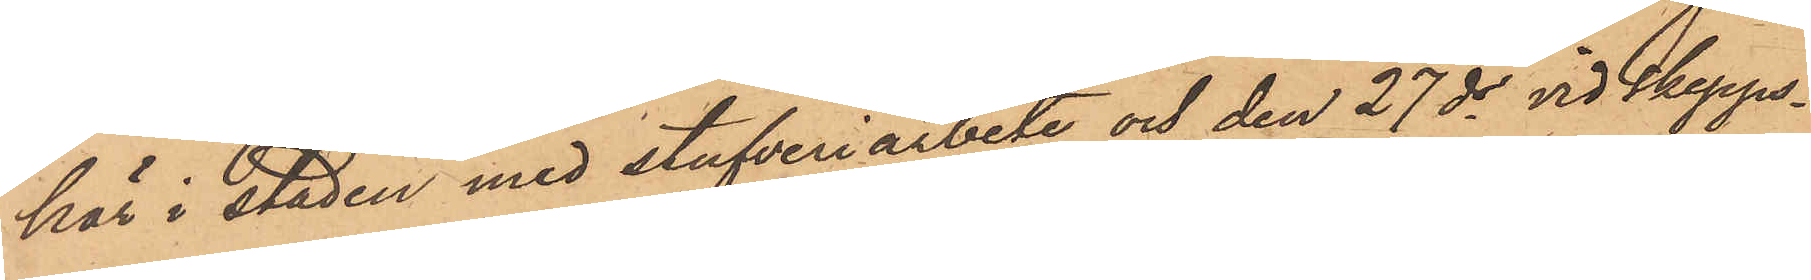här i staden med stufveriarbete och den 27 ds vid Skepps¬
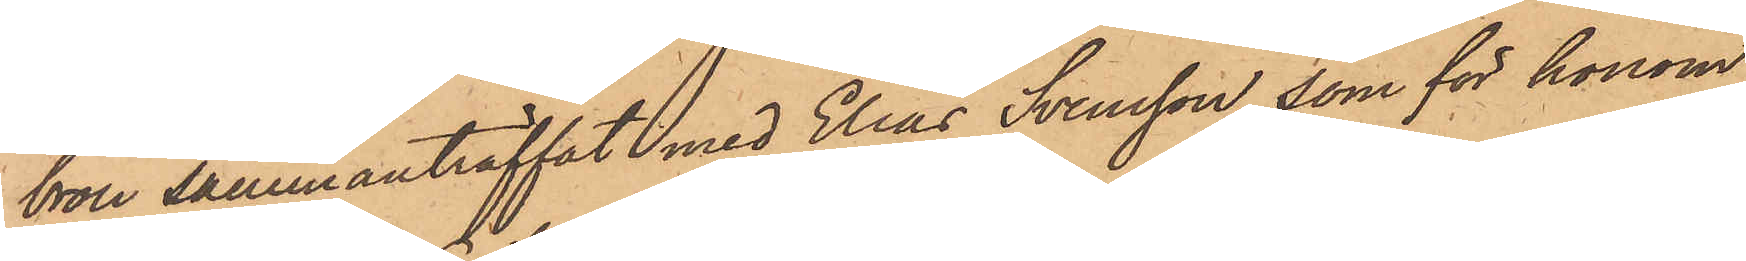bron sammanträffat med Elias Svensson, som för honom
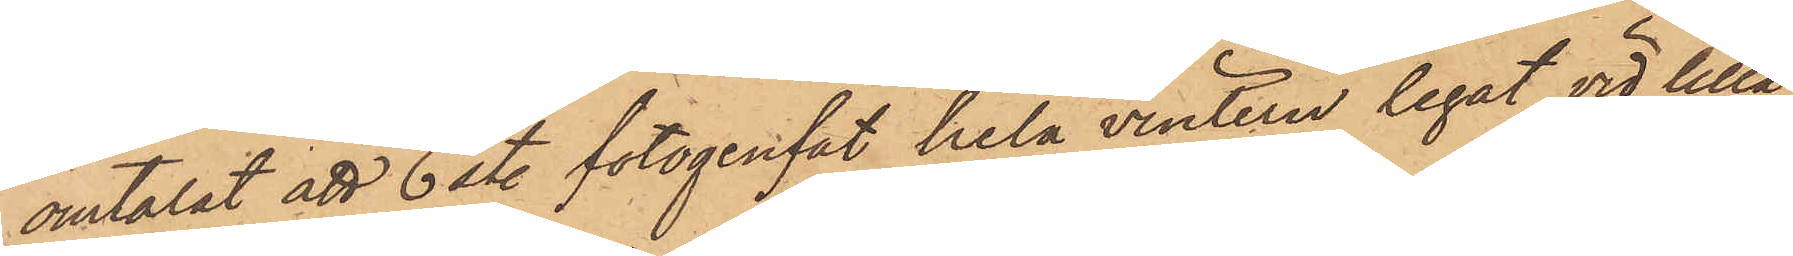omtalat att 6ste fotogenfat hela vintern legat vid lilla
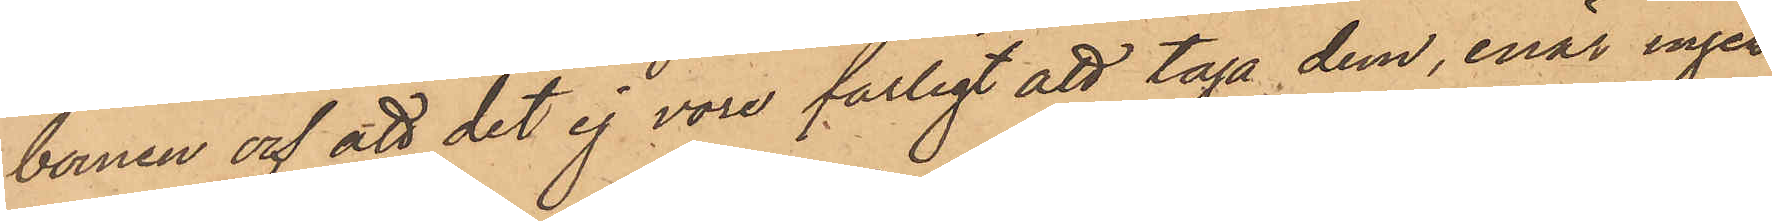bomen och att det ej voro farligt att taga dem, enär ingen
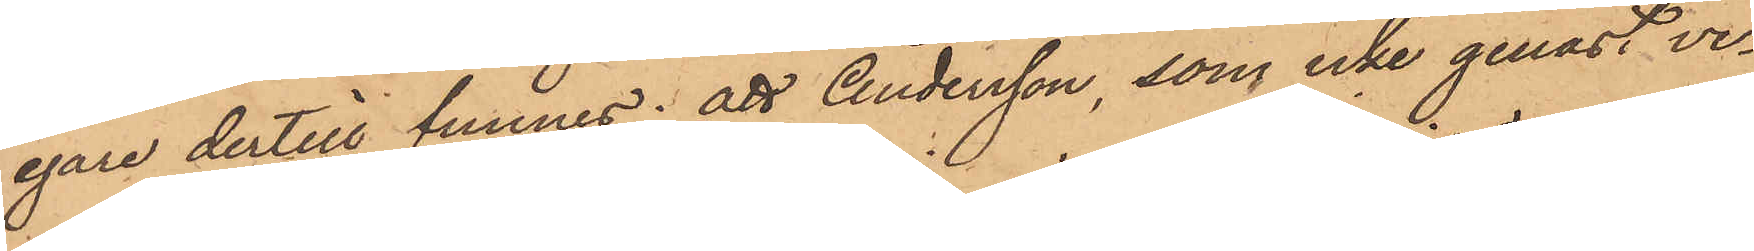egare dertill funnes; att Andersson, som icke genast ve¬
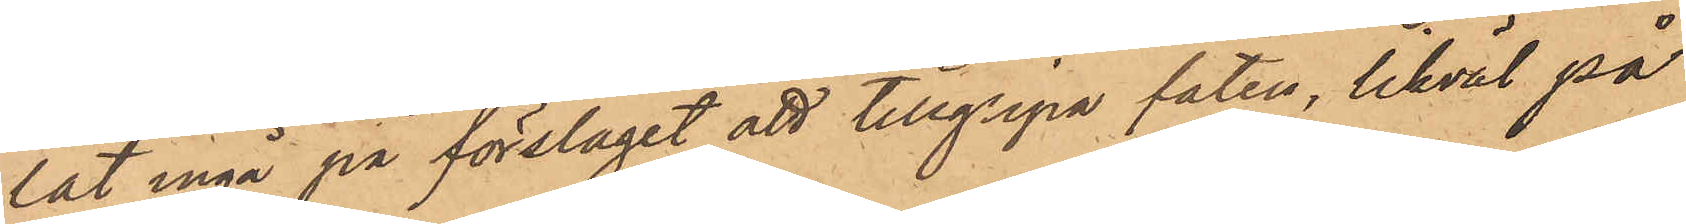lat ingå på förslagit att tillgripa faten, likväl på
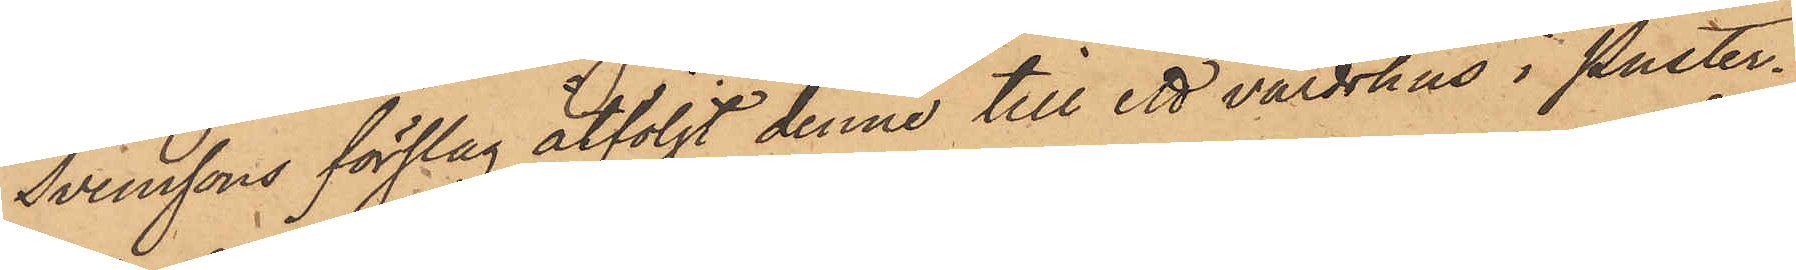Svenssons förslag åtföljt denne till ett värdshus i Puster¬
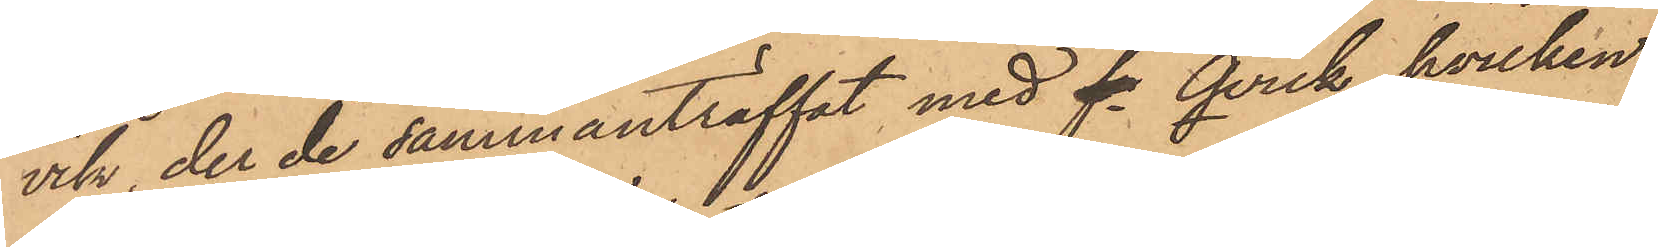vik, der de sammanträffat med fe Qvick, hvilken
